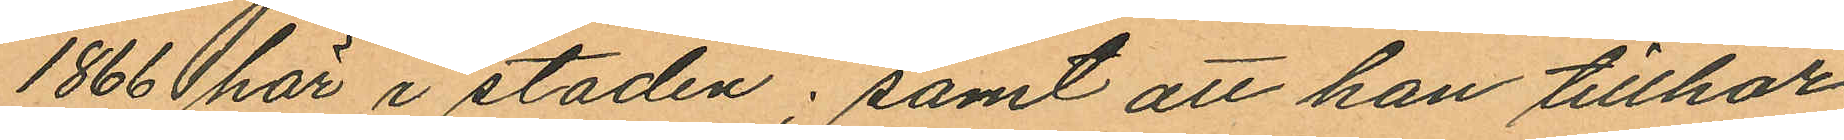1866 här i staden; samt att han tillhör
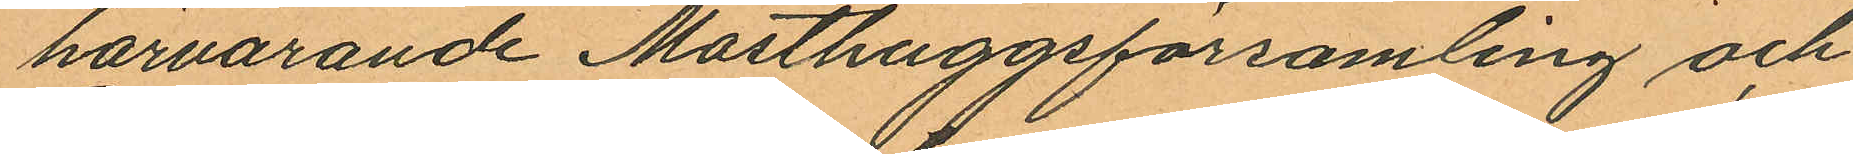härvarande Masthuggsförsamling och
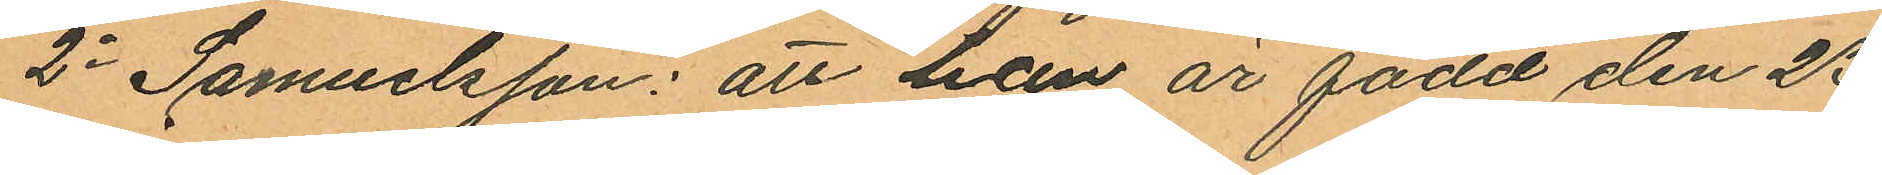2o Samuelsson: att han är född den 23
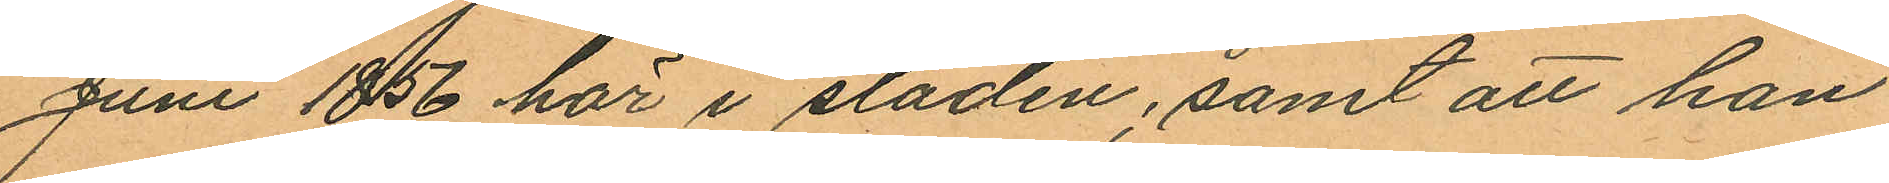Juni 1856 här i staden; samt att han
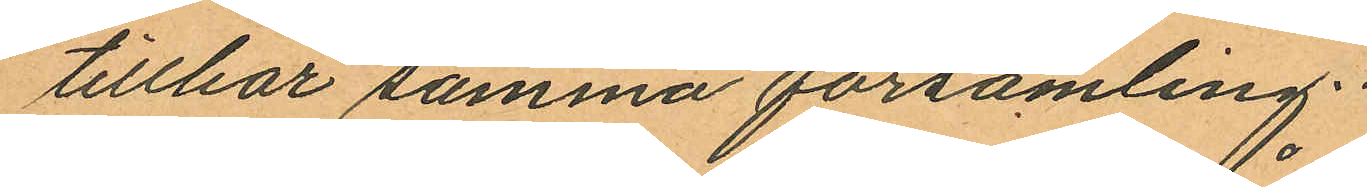tillhör samma församling.
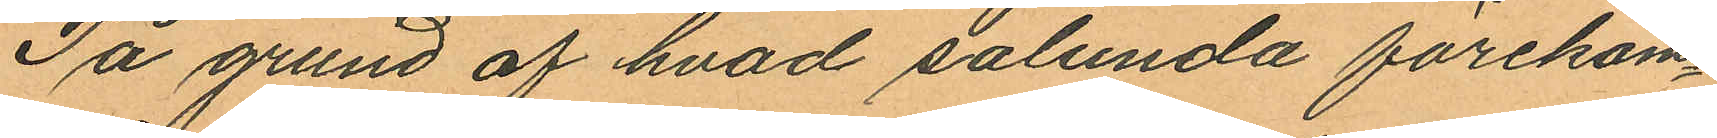På grund af hvad sålunda förekom¬
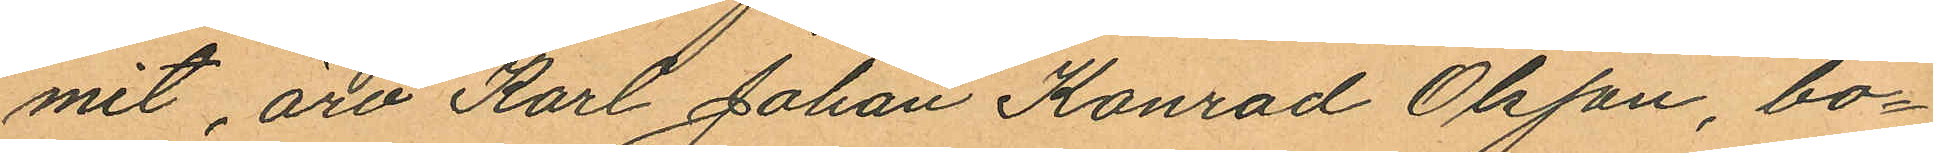mit, äro Karl Johan Konrad Olsson, bo¬
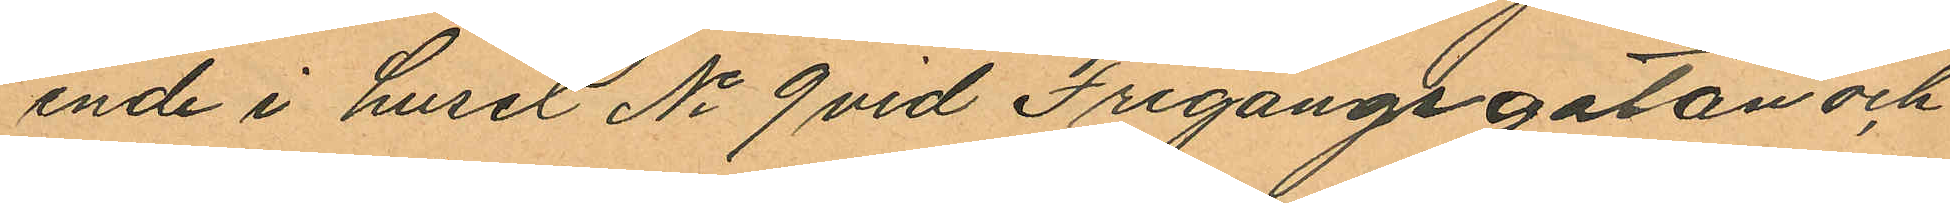ende i huset No 9 vid Frigångsgatan och
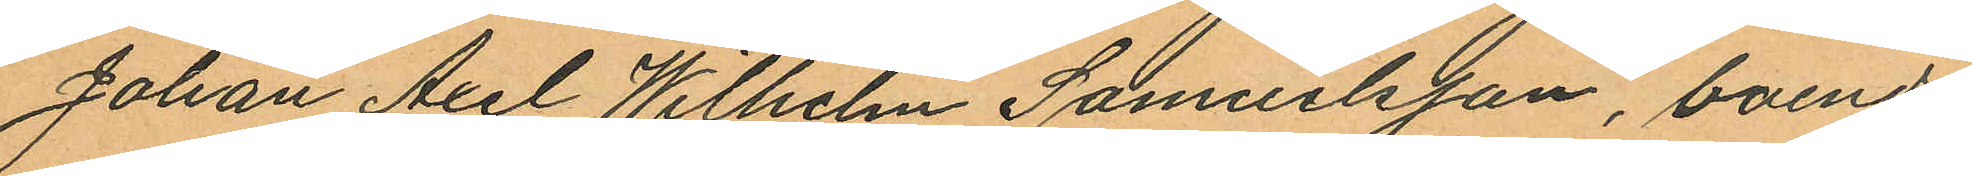Johan Axel Wilhelm Samuelsson, boende
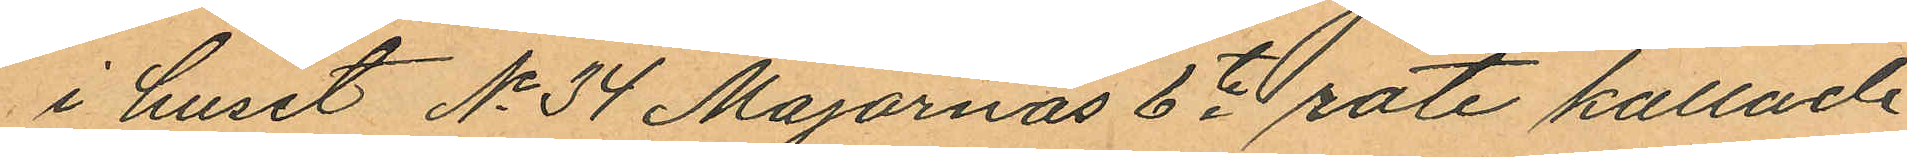i huset No 34 Majornas 6te rote kallade
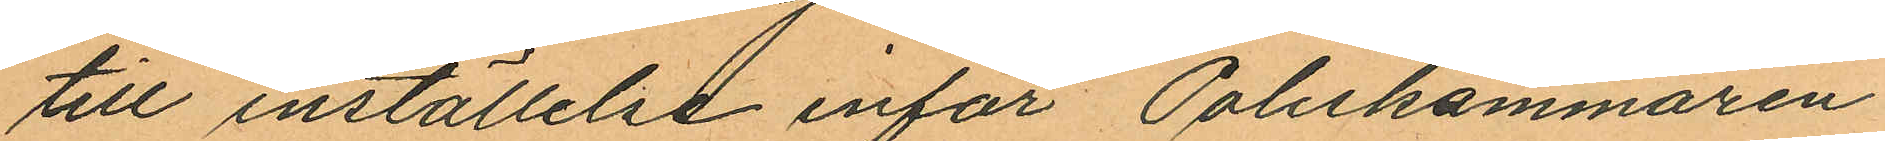till inställelse inför Poliskammaren
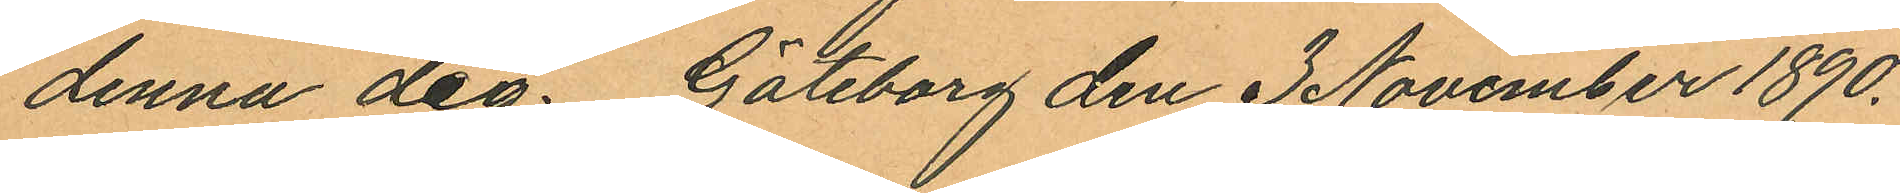denna dag. Göteborg den 3 November 1890.
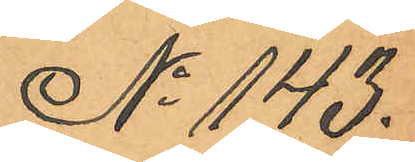No 143.
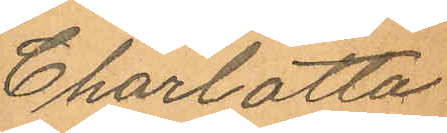Charlotta
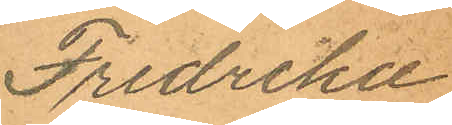Fredrika
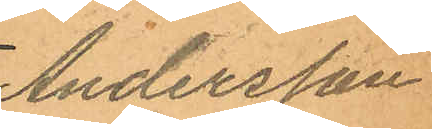Andersson
